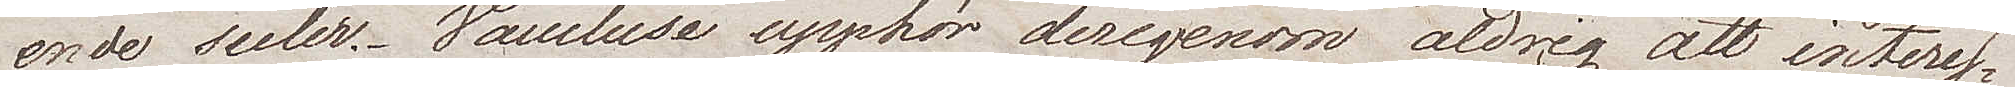ende seder. Vaucluse upphör derigenom aldrig att interes¬
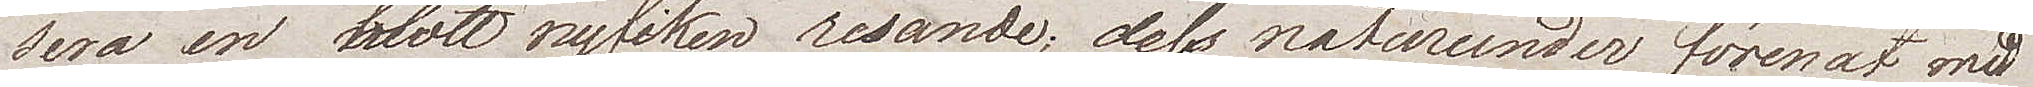sera en blott nyfiken resande; dess naturunder förenat med
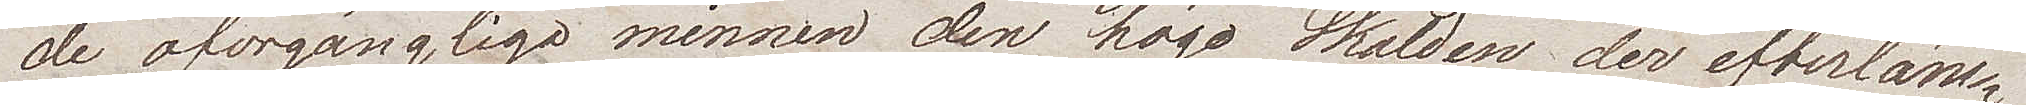de oförgängliga minnen den höge Skalden der efterläm¬
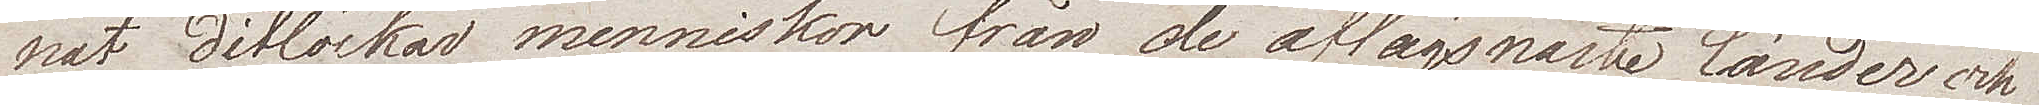nat. Dit lockas menniskor från de aflägsnaste länder och
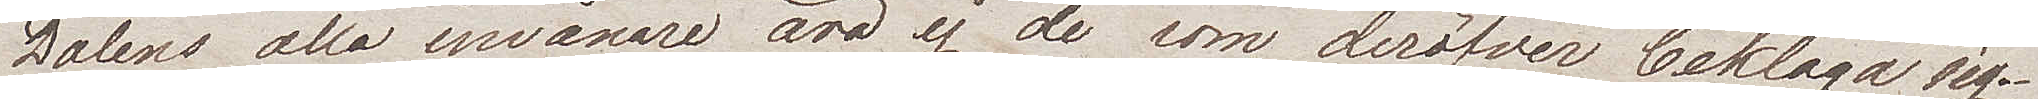Dalens alla invånare äro ej de som deröfver beklaga sig.
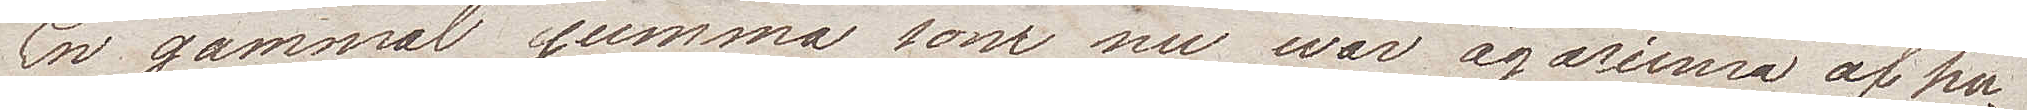En gammal gumma som nu war ägarinna af hu¬
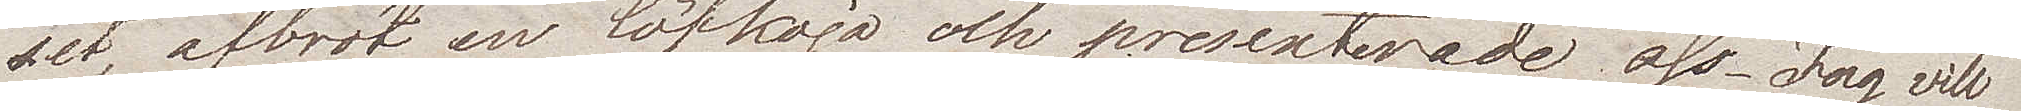set afbröt en löfkoja och presenterade oss. Jag vill
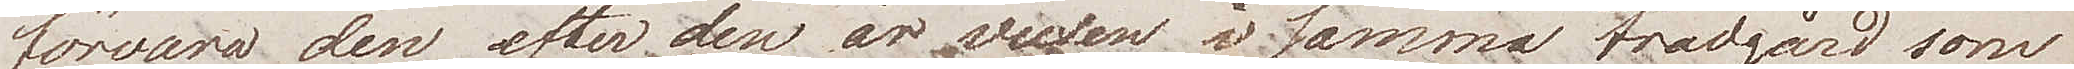förvara den efter den är vuxen i samma trädgård som
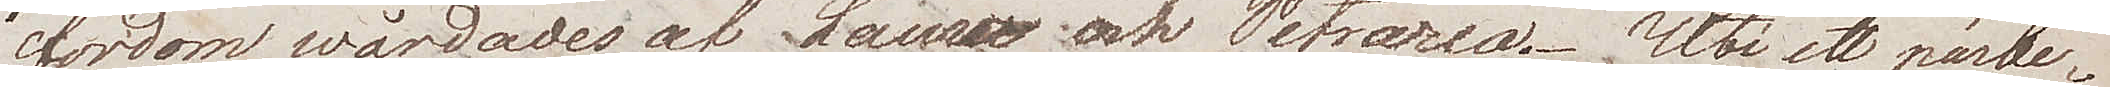fordom wårdades af Laura och Petrarca. Uti ett närbe¬
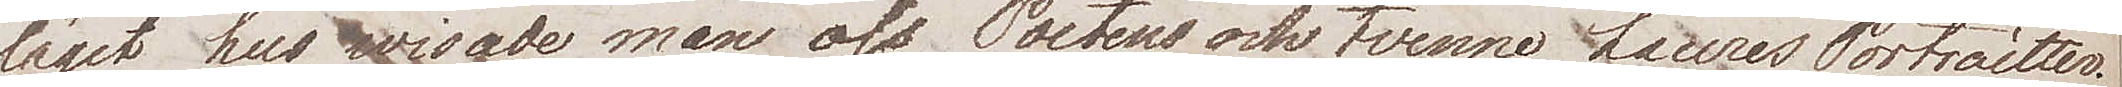läget hus wisade man oss Poetens och tvenne Lauras Portraitter.
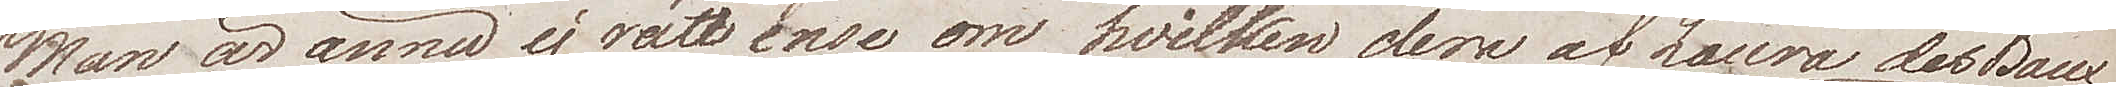Man är ännu ej rätt ense om hvilken den af Laura des Baux
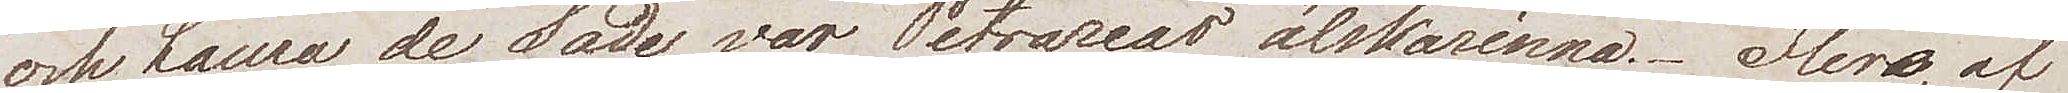och Laura de Sade, var Petrarcas älskarinna. Flera af
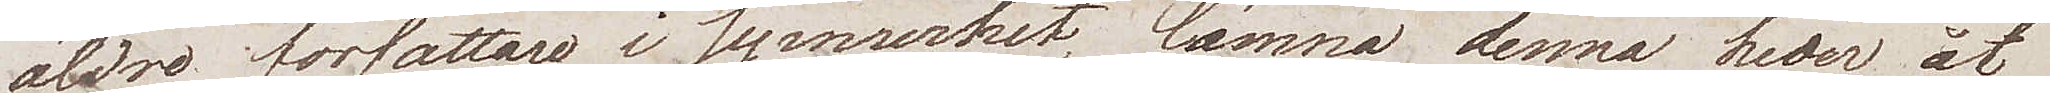äldre författare i synnerhet lämna denna heder åt
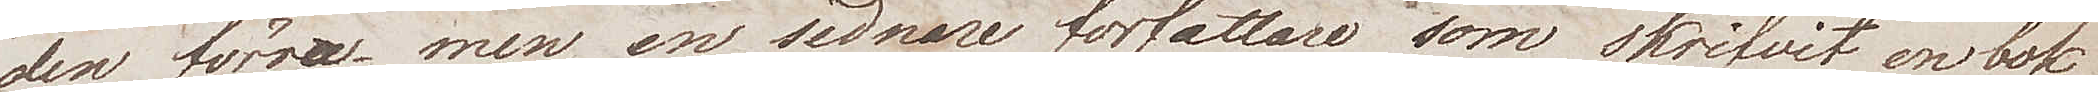den förra men en sednare författare som skrifvit en bok
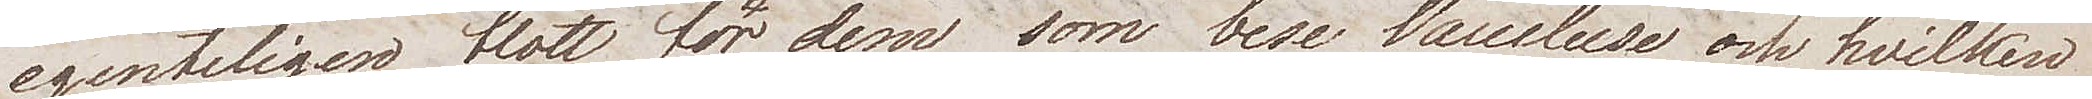egentligen blott för dem som bese Vaucluse och hvilken
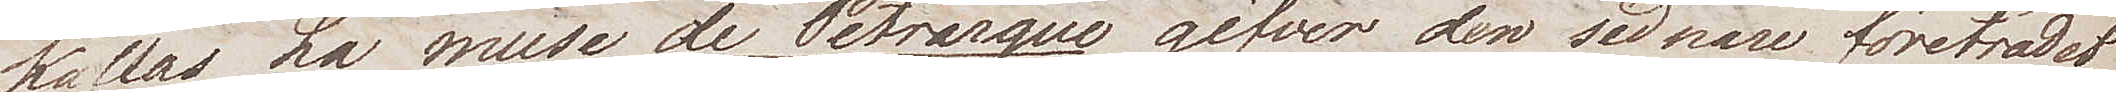kallas La muse de Petrarque gifver den sednare företrädet
